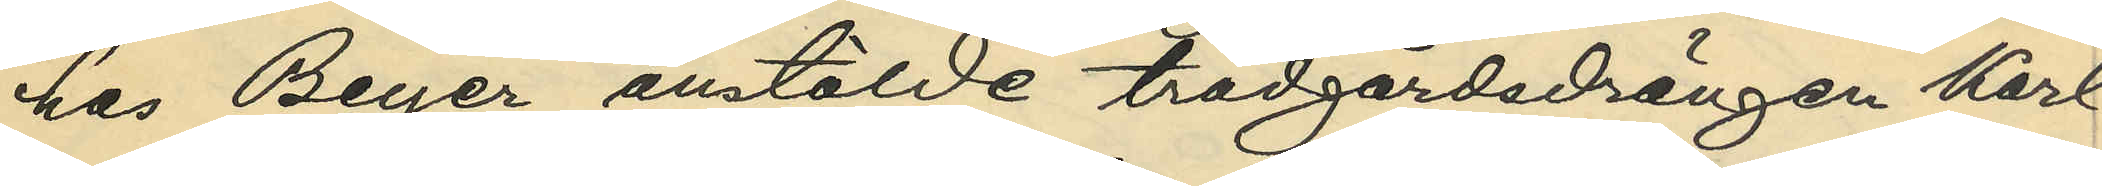hos Beyer anstälde trädgårdsdrängen Karl
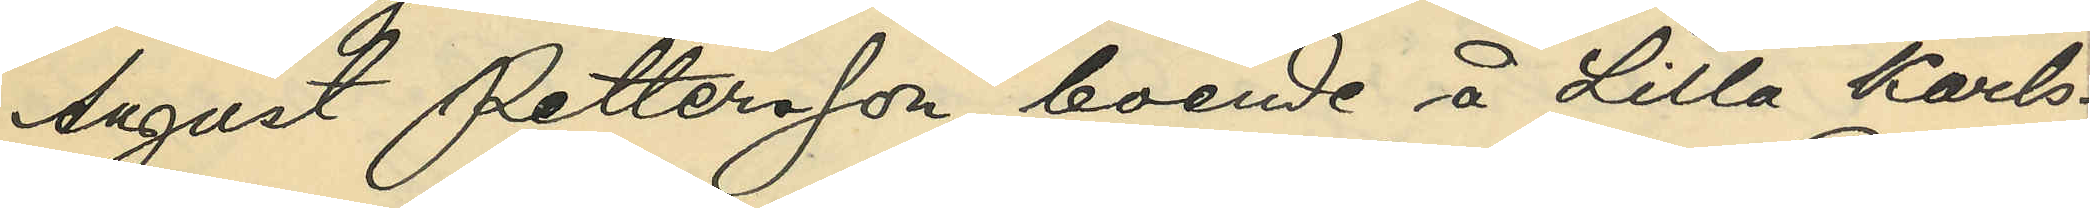August Pettersson, boende å Lilla Karls¬
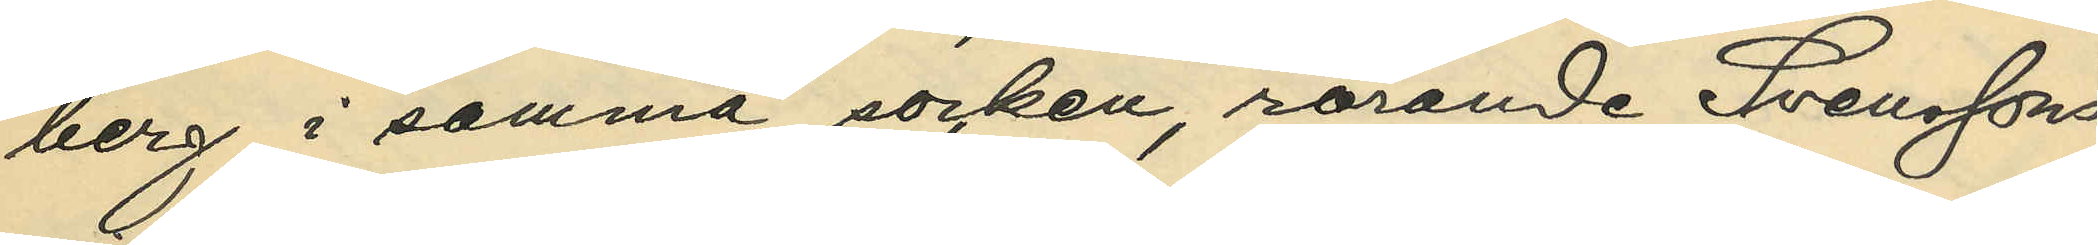berg i samma socken, rörande Svenssons
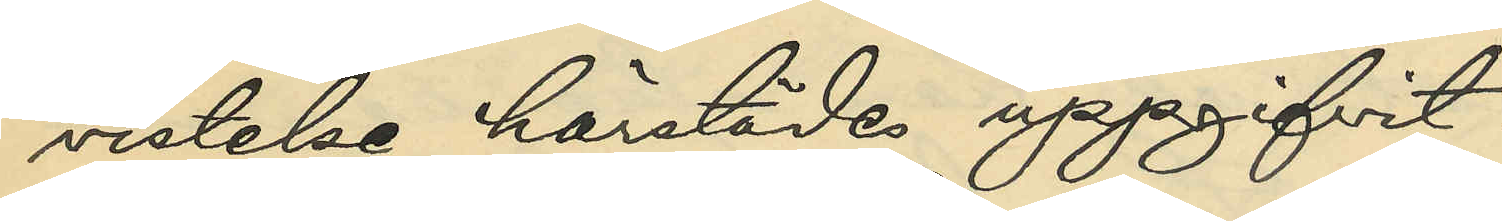vistelse härstädes uppgifvit:
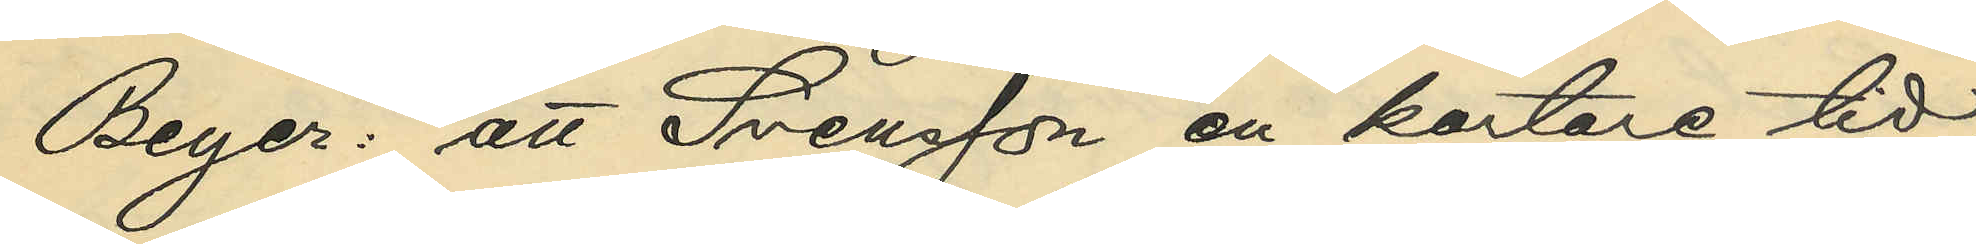Beyer: att Svensson en kortare tid,
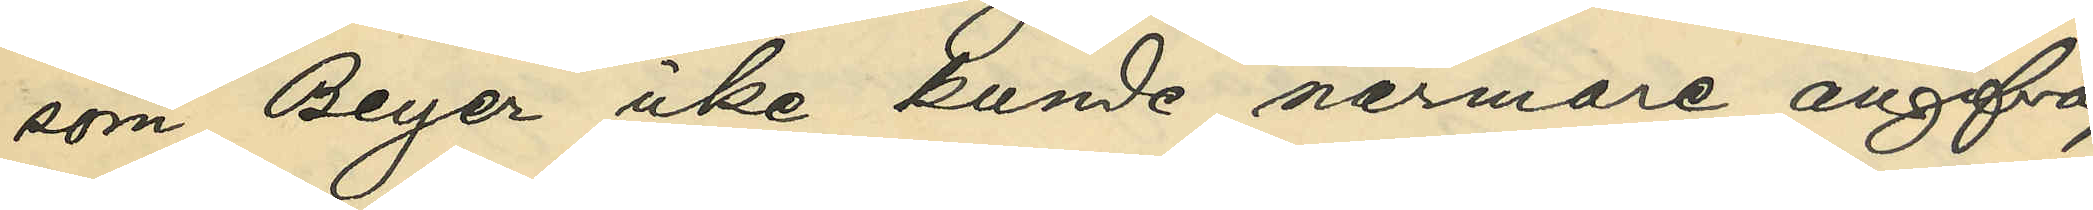som Beyer icke kunde närmare angifva,
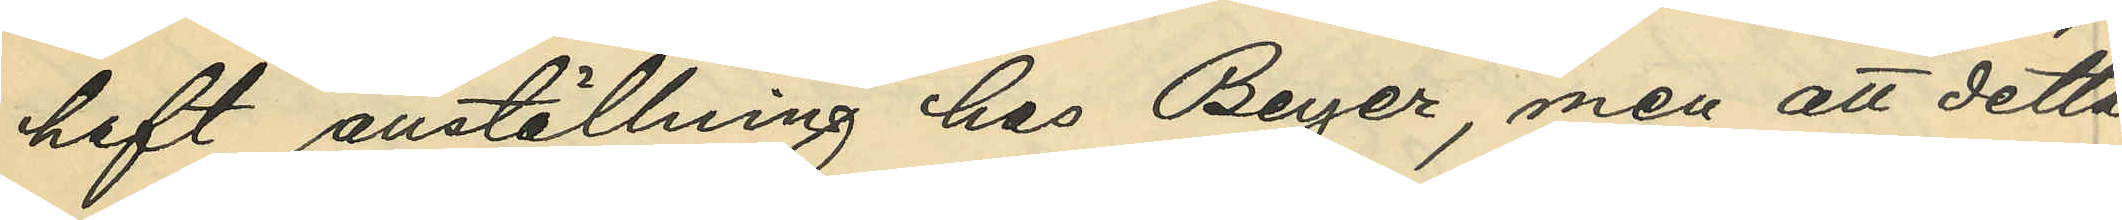haft anställning hos Beyer, men att detta
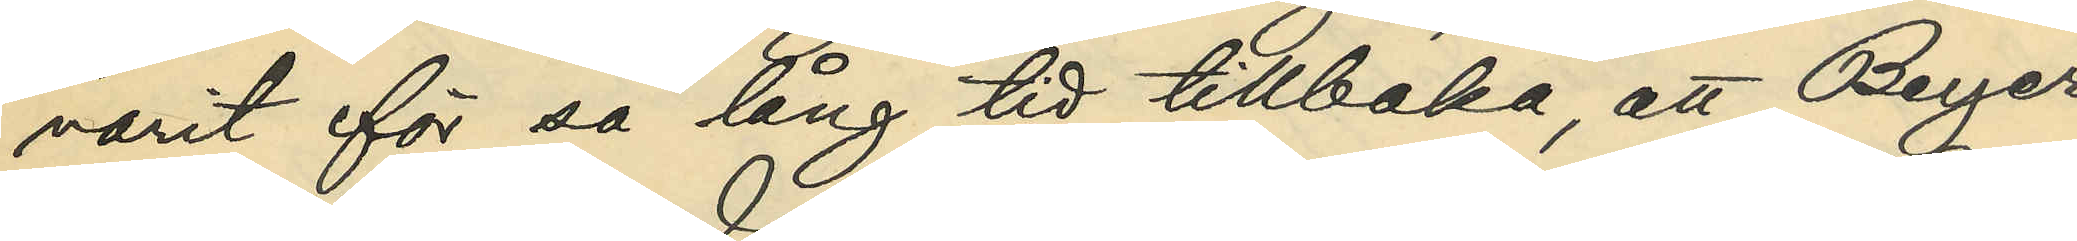varit för så lång tid tillbaka, att Beyer
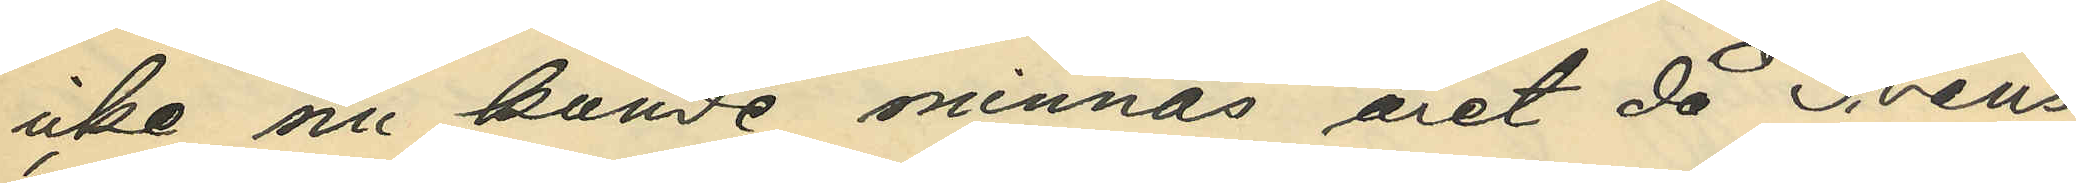icke nu kunde minnas året då Svens¬
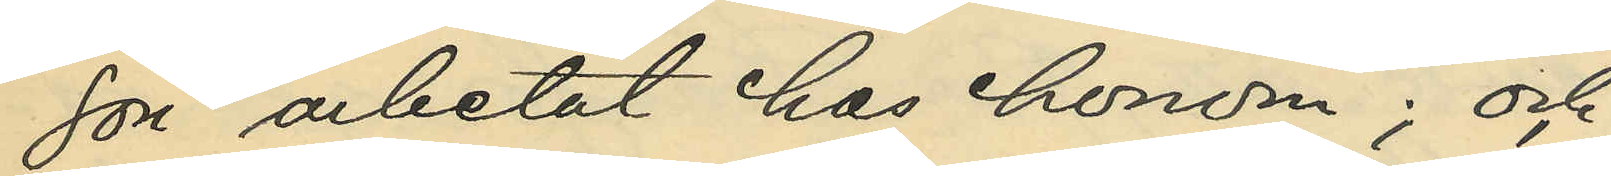son arbetat hos honom; och
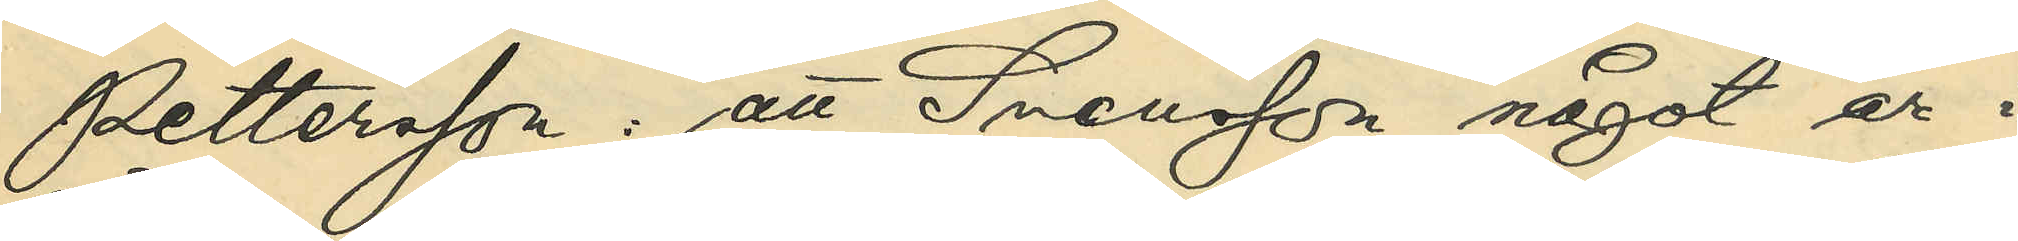Pettersson: att Svensson något år i
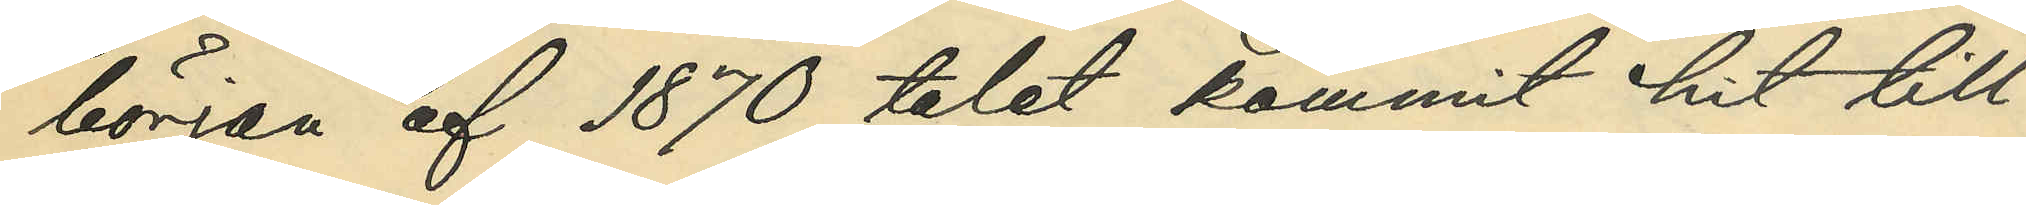början af 1870 talet kommit hit till
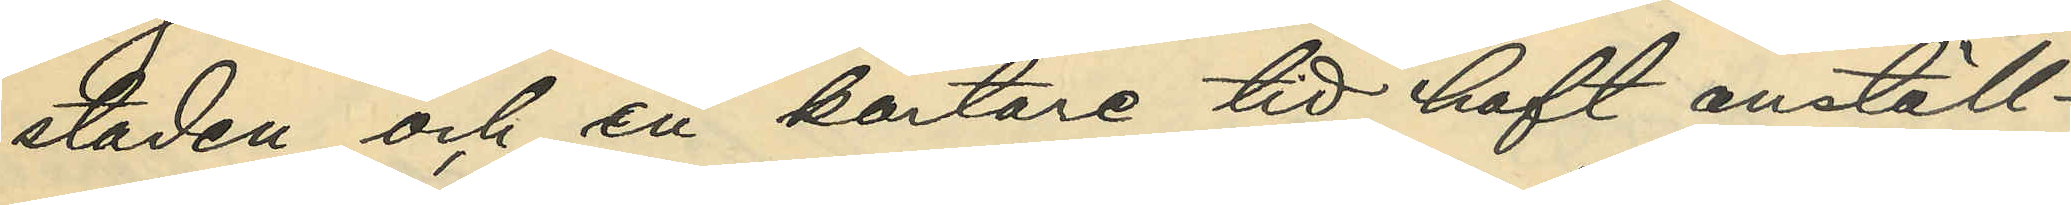staden och en kortare tid haft anställ¬
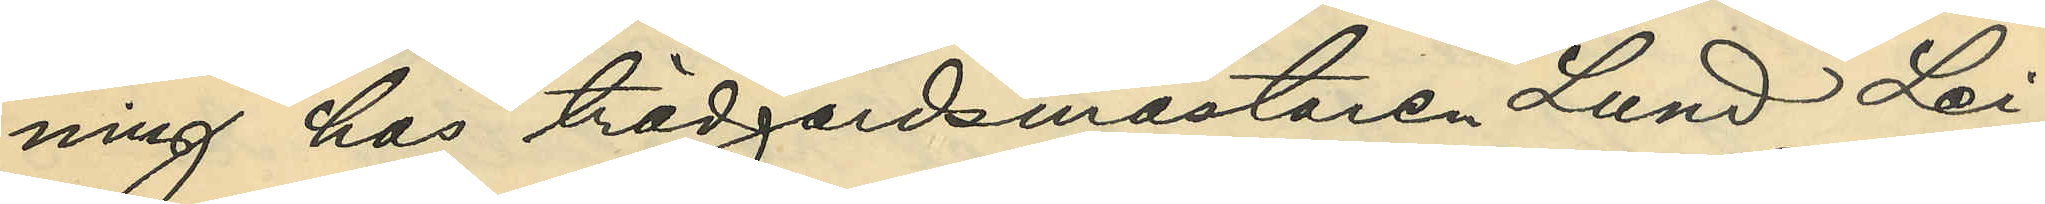ning hos trädgårdsmästaren Lund Lei¬
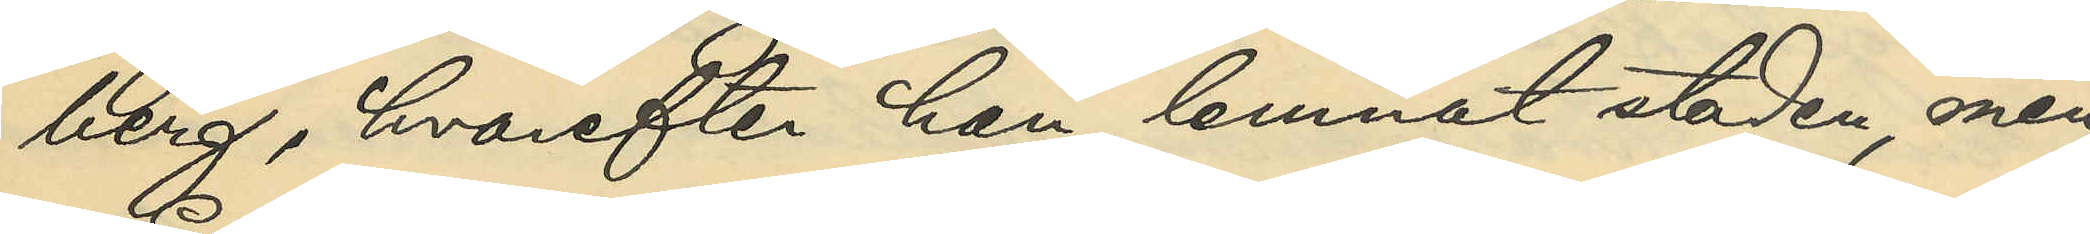berg, hvarefter han lemnat staden, men
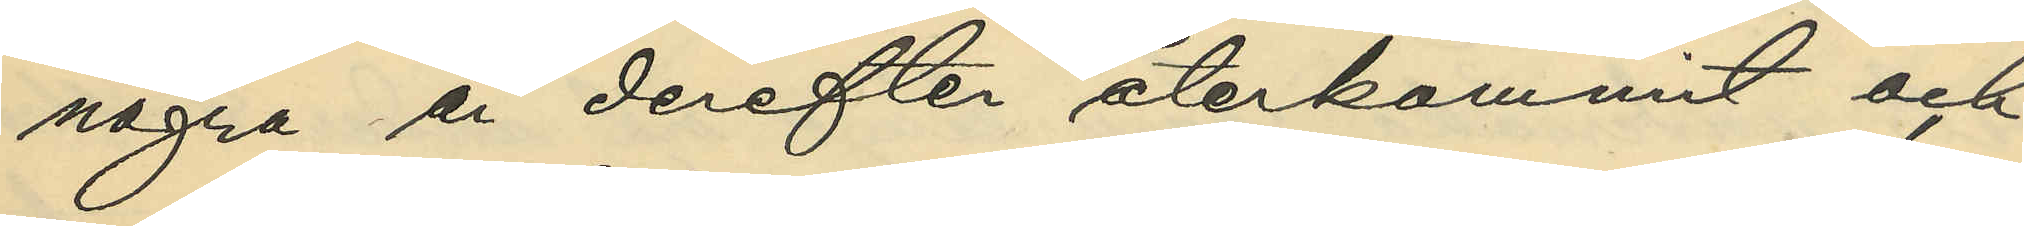några år derefter återkommit och
